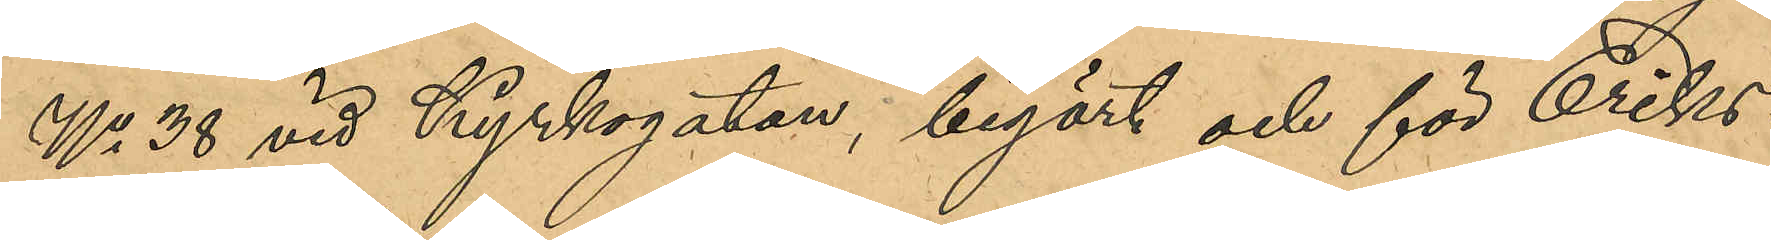No 38 vid Kyrkogatan, begärt och för Eriks¬
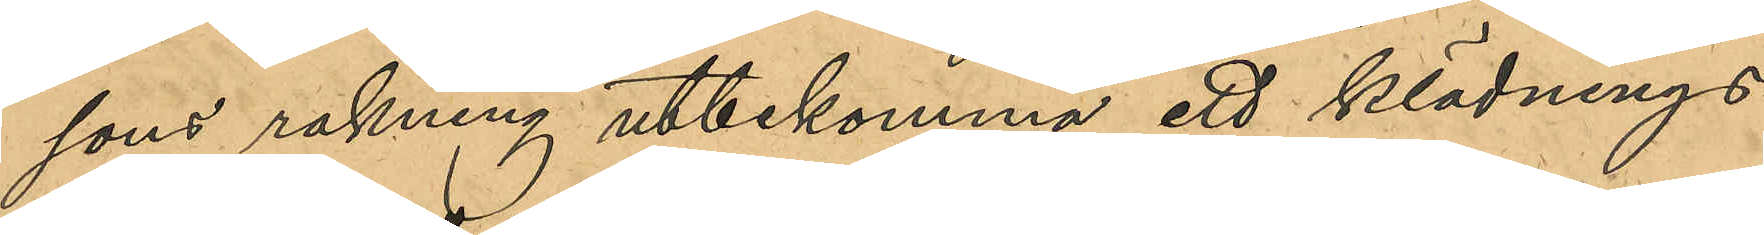sons rakning utbekomma ett klädnings¬
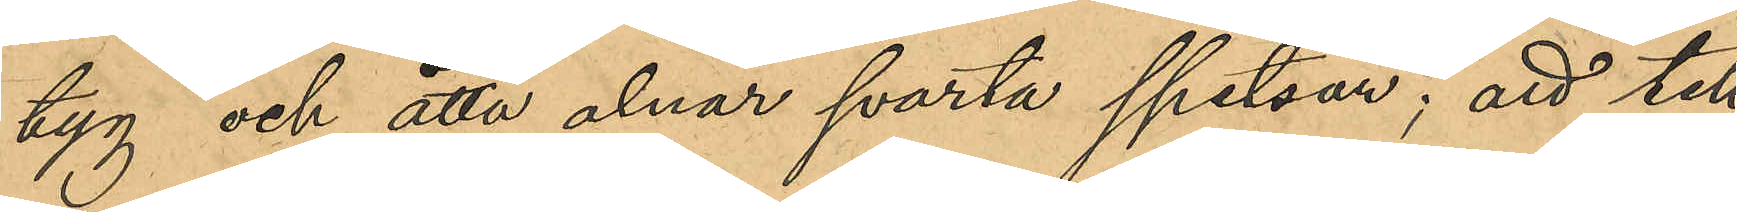tyg och åtta alnar svarta spetsar; att till
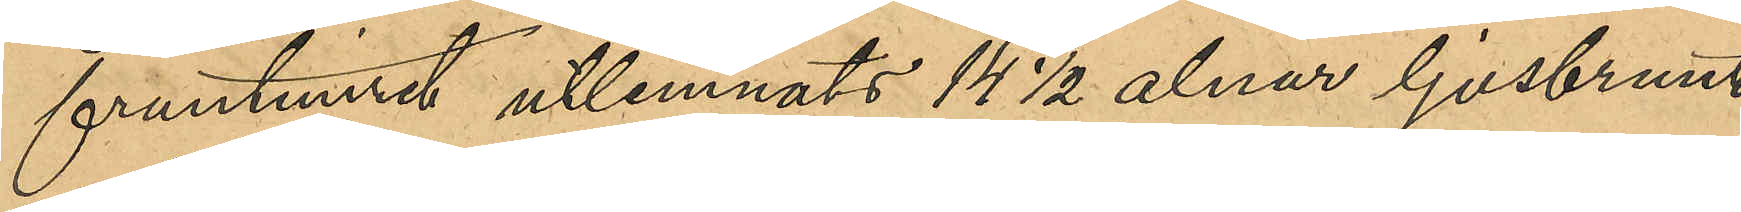fruntimret utlemnats 14 ½ alnar ljusbrunt
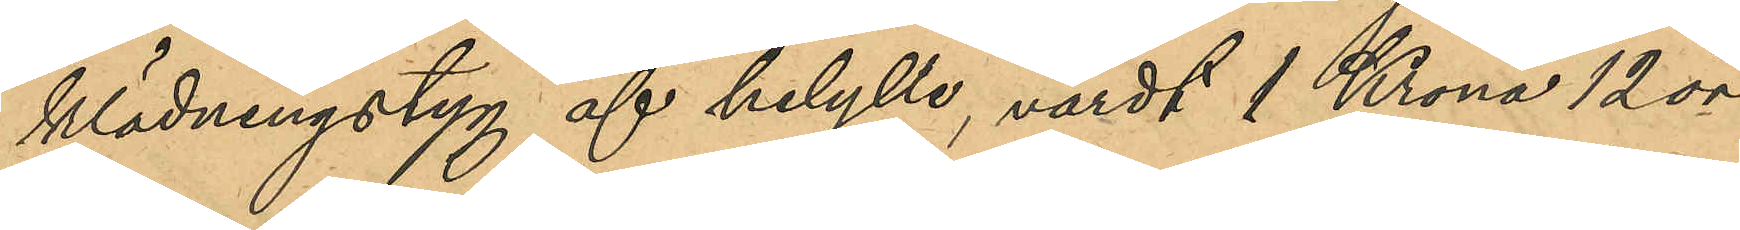klädningstyg af helylle, värdt 1 Krona 12 öre
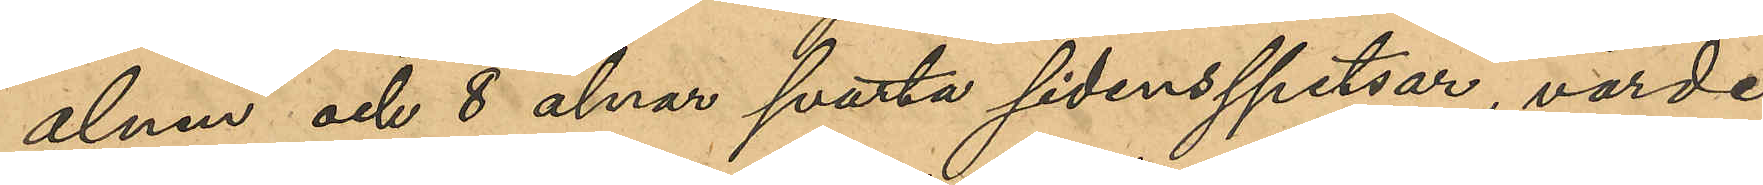alnen och 8 alnar svarta sidenspetsar, värde
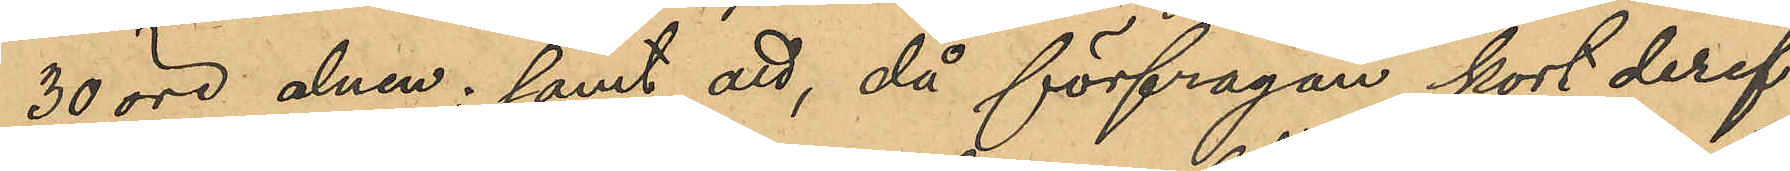30 öre alnen; samt att, då förfrågan kort deref¬
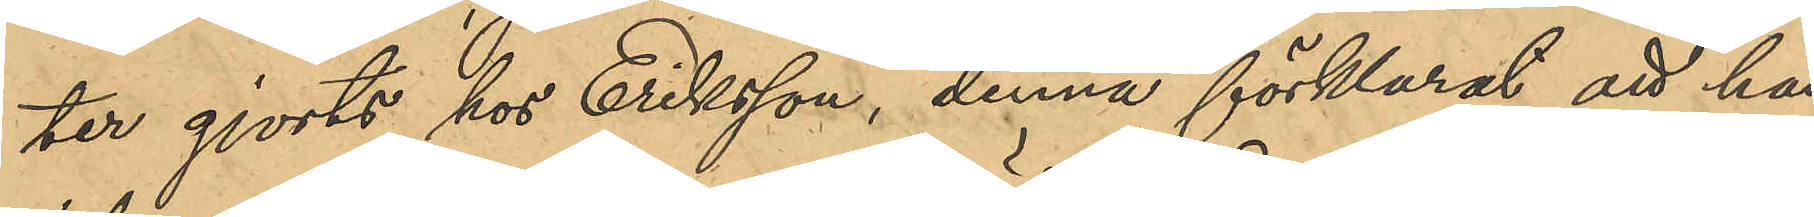ter gjorts hos Eriksson, denna förklarat att hon
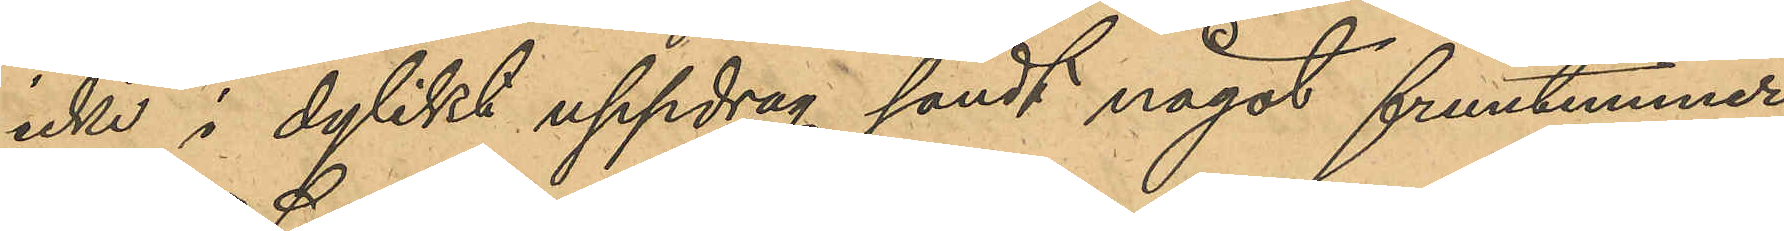icke i dylikt uppdrag sändt något fruntimmer
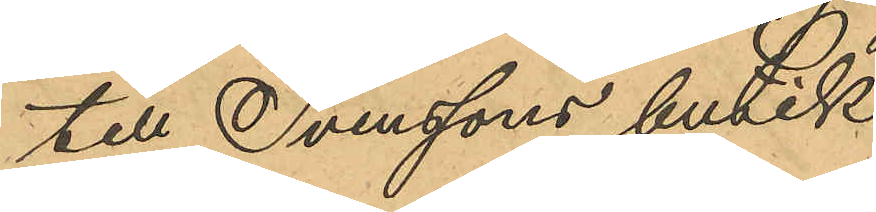till Svenssons butik.
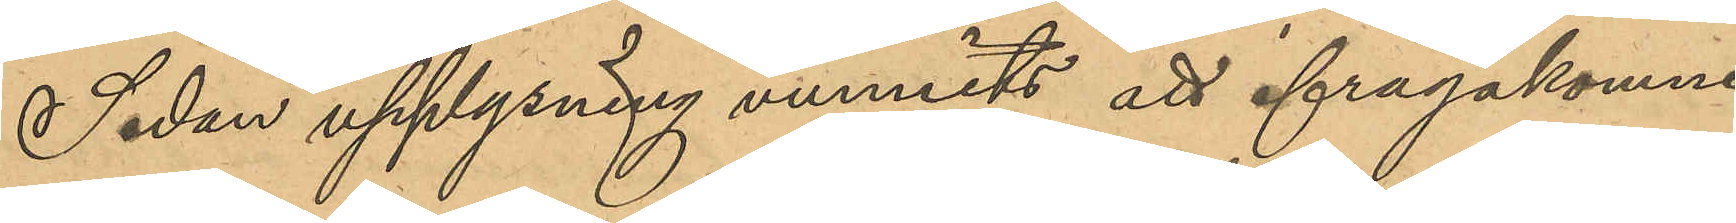Sedan upplysning vunnits att ifrågakomne
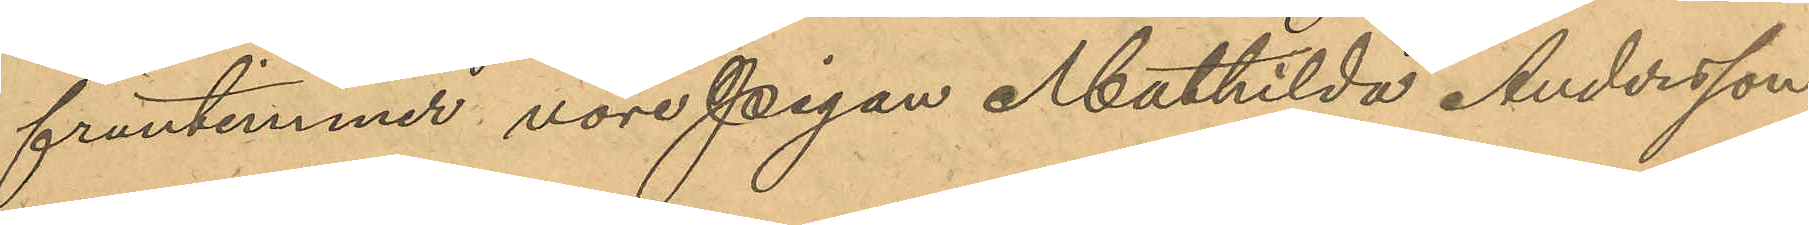fruntimmer vore pigan Mathilda Andersson,
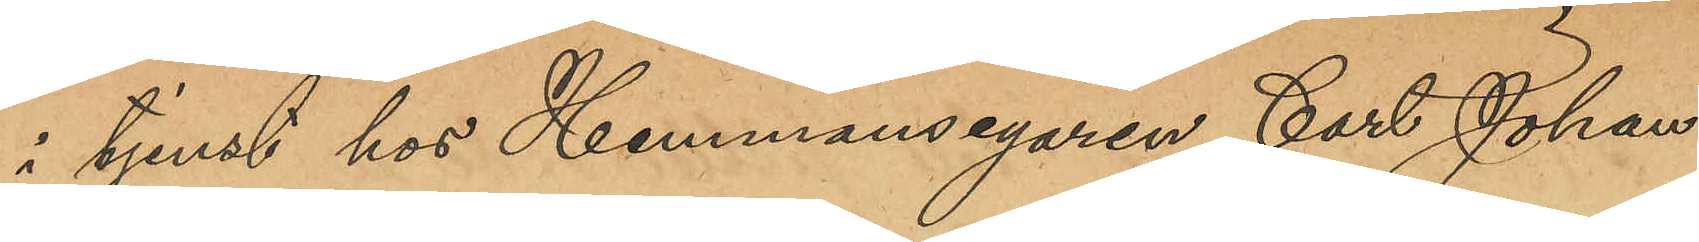i tjenst hos Hemmansegaren Carl Johan
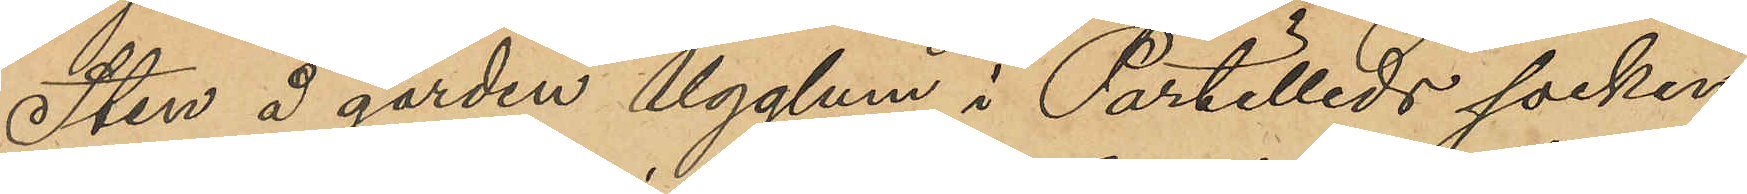Sten å gården Ugglum i Partilleds socken,
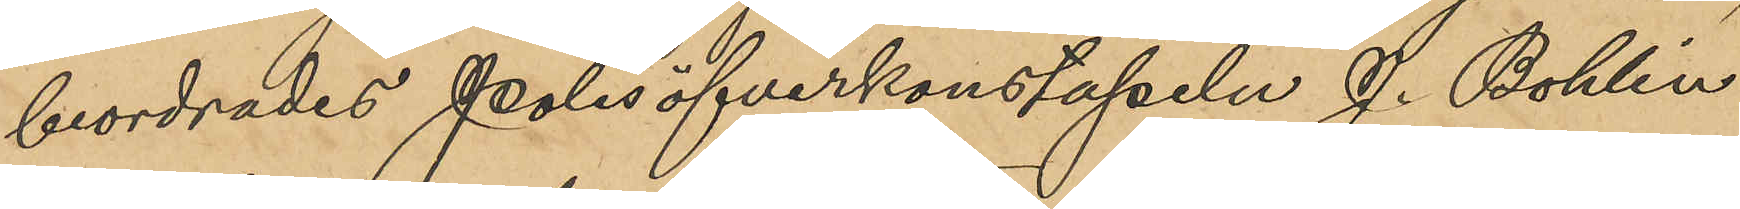beordrades polisöfverkonstapeln J. Bohlin
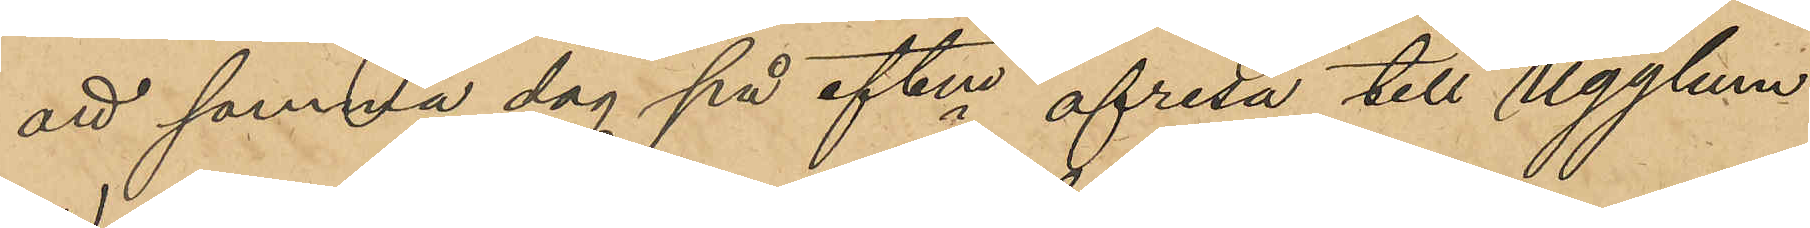att samma dag på eftm afresa till Ugglum
